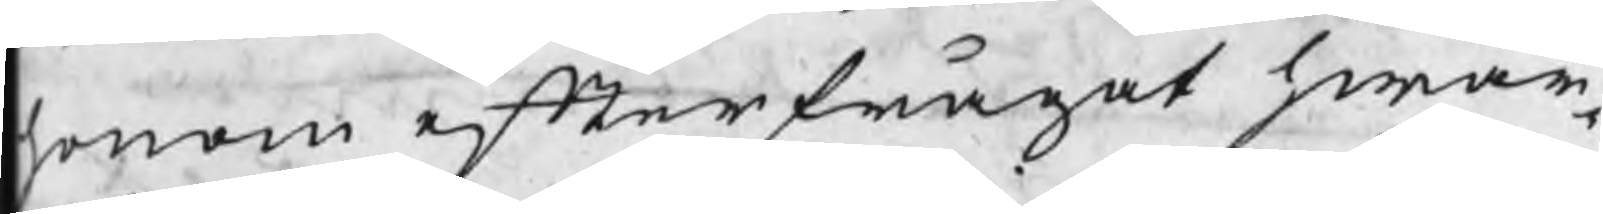honom efterfrågat hwar¬
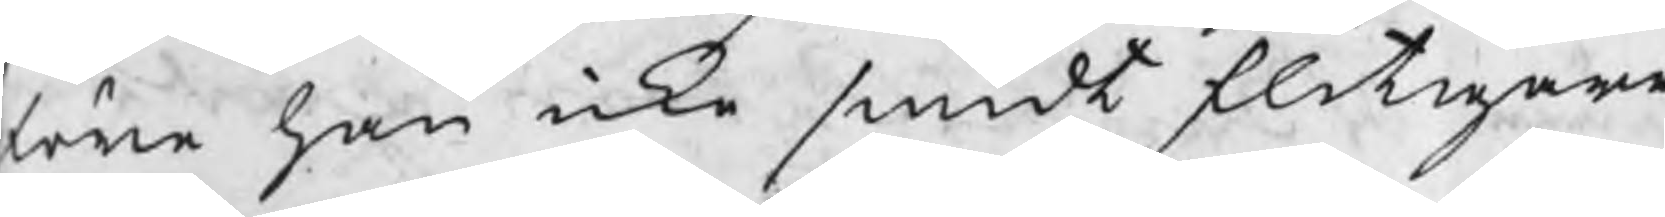före han icke smidt flitigare
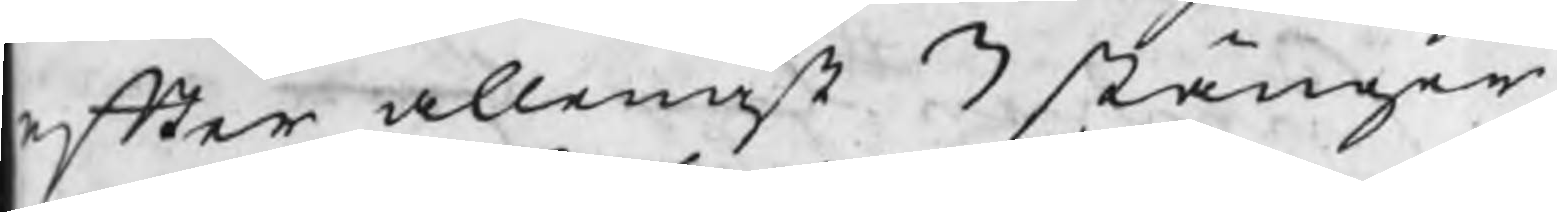efter allenast 3 stänger
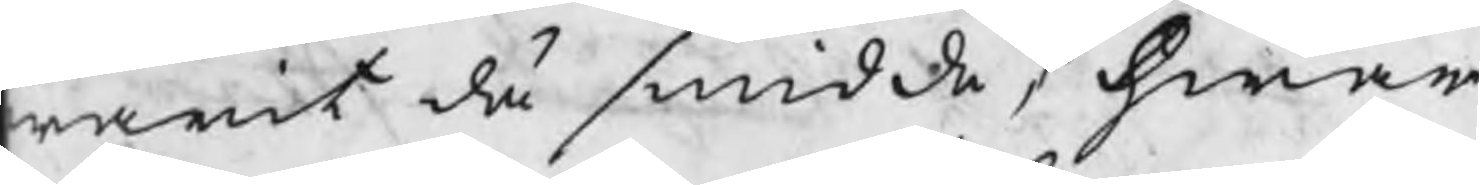warit då smidde, hwar
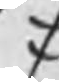/
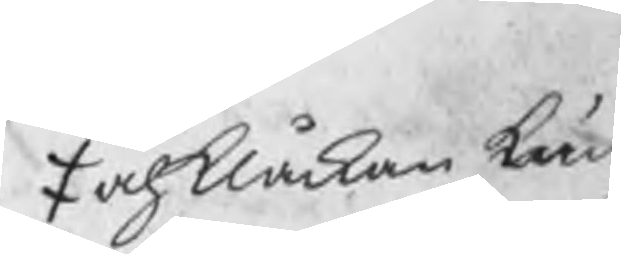/ och klåckan kun
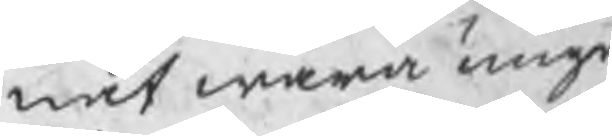nat wara unge
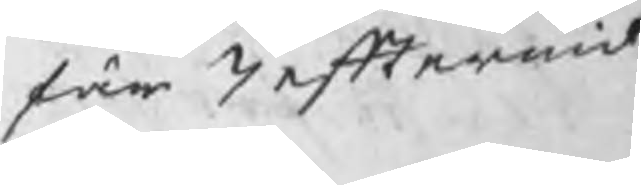fär 7 eftermid¬
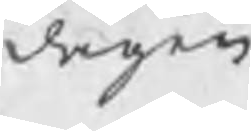dagen
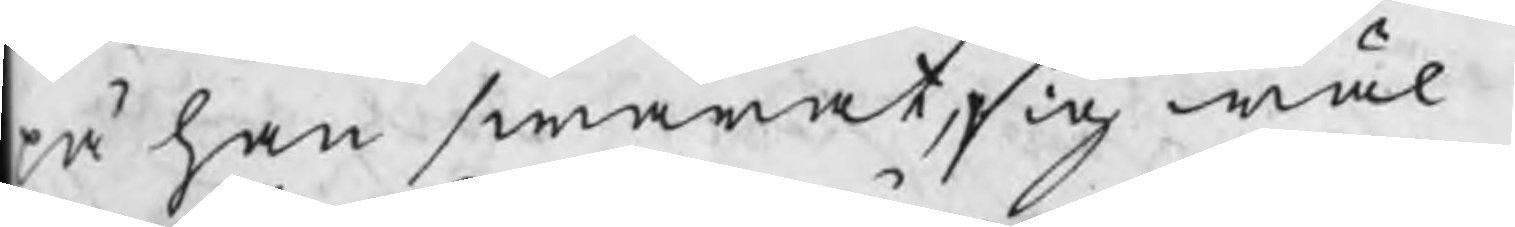på han swarat, sig wäl
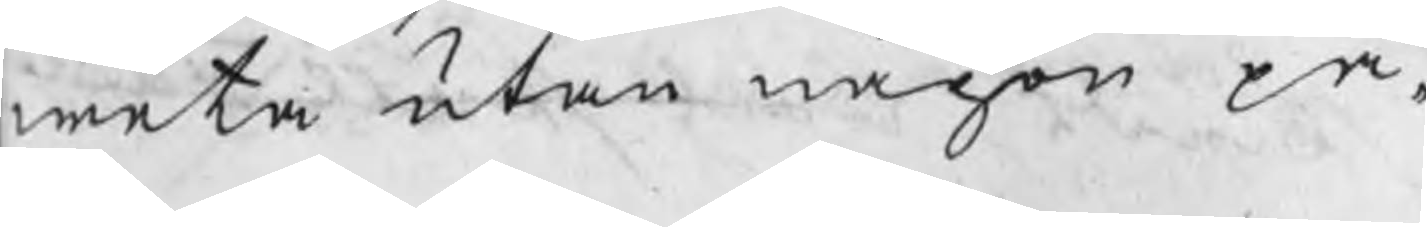weta utan någon på¬
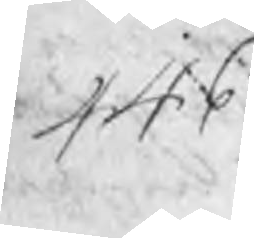446
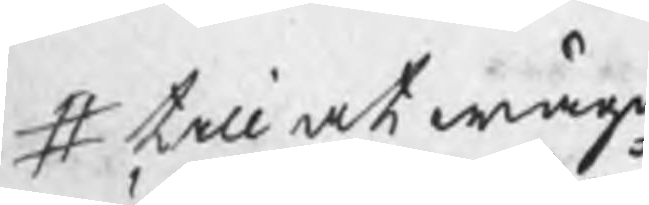# till at wäga
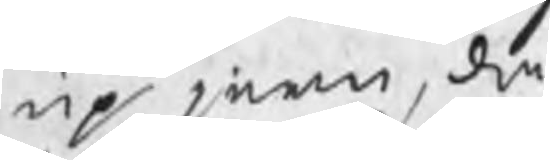up jern, då
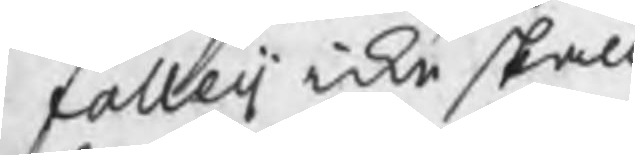falleij icke skall
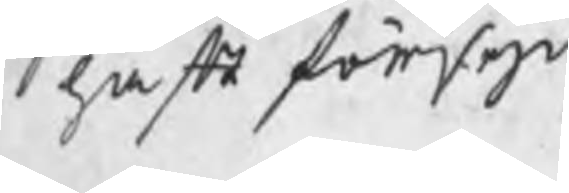haft försyn
